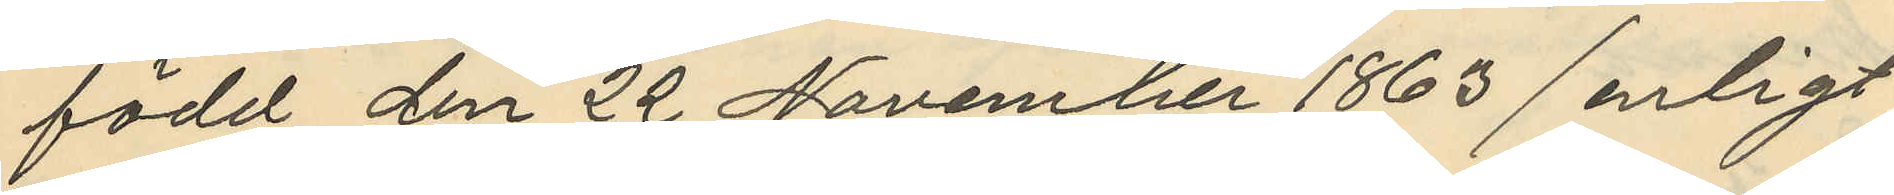född den 22 November 1863 enligt
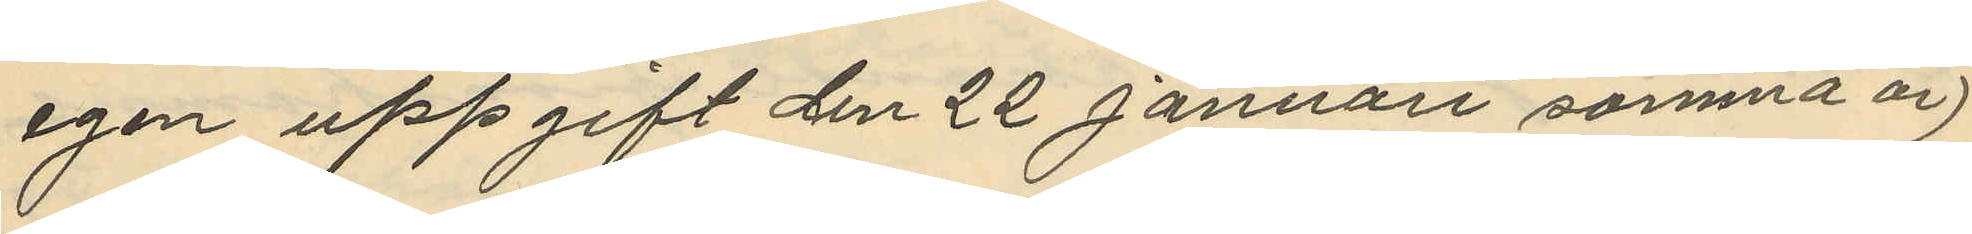egen uppgift den 22 Januari samma år
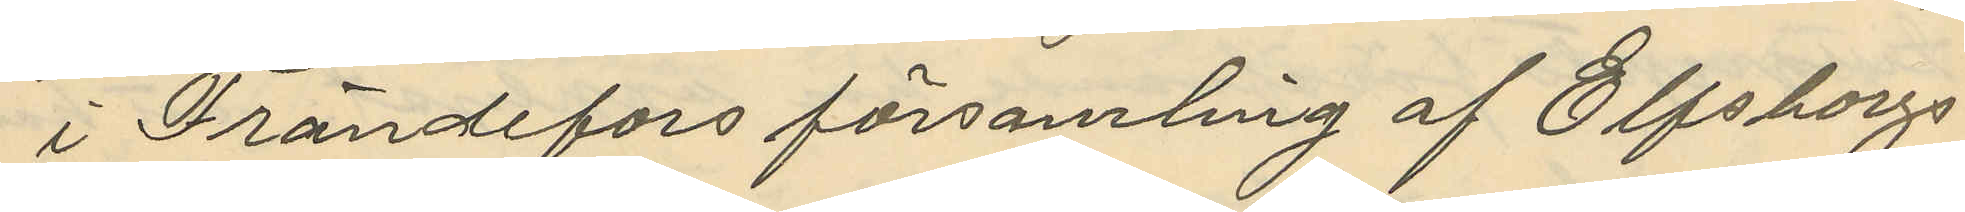i Frändefors församling af Elfsborgs
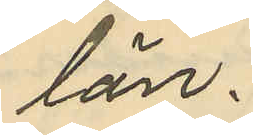län.
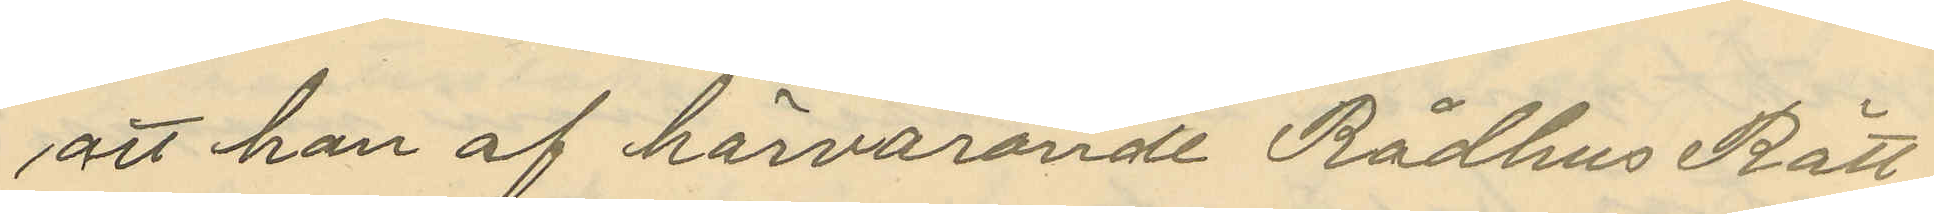att han af härvarande Rådhus Rätt
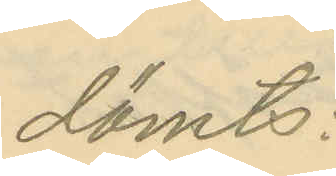dömts:
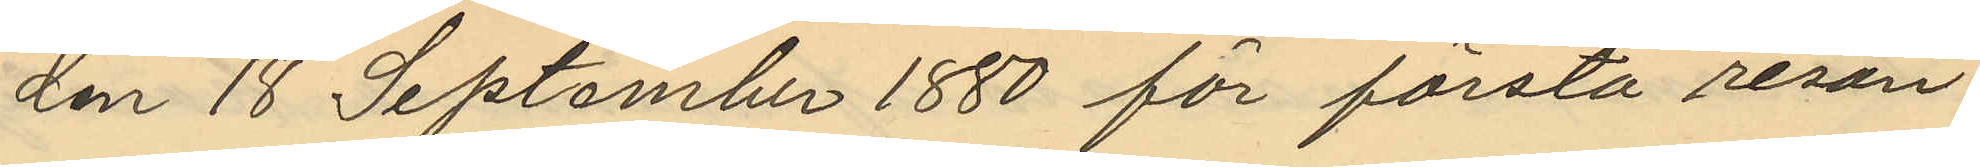den 18 September 1880 för första resan
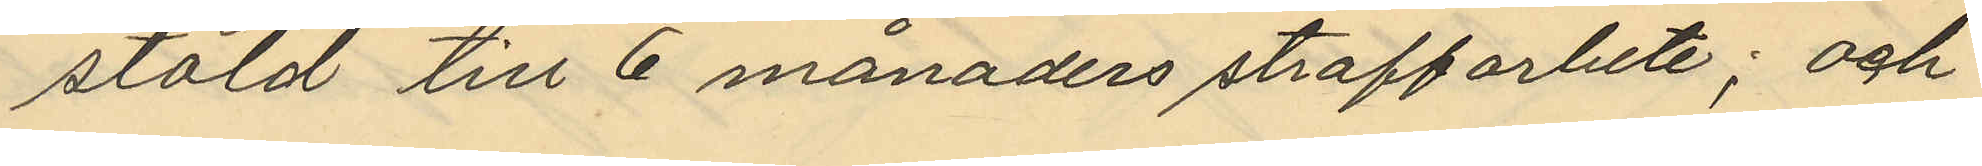stöld till 6 månaders straffarbete; och
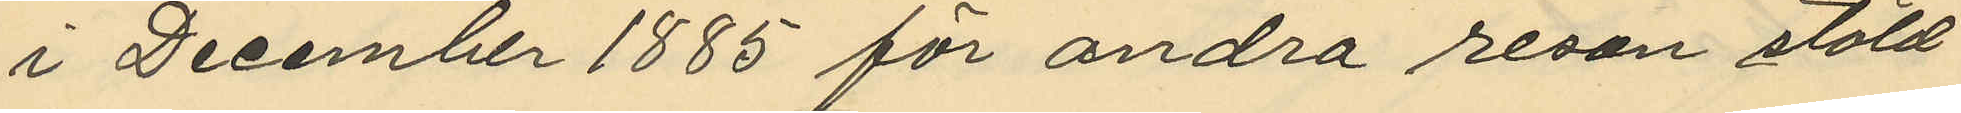i December 1885 för andra resan stöld
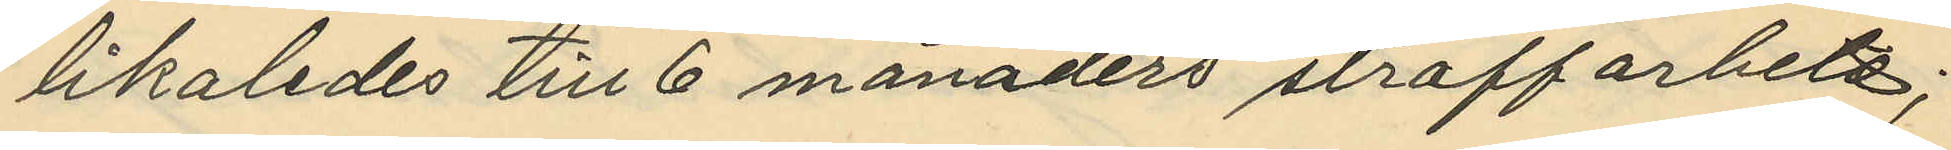likaledes till 6 månaders straffarbete;
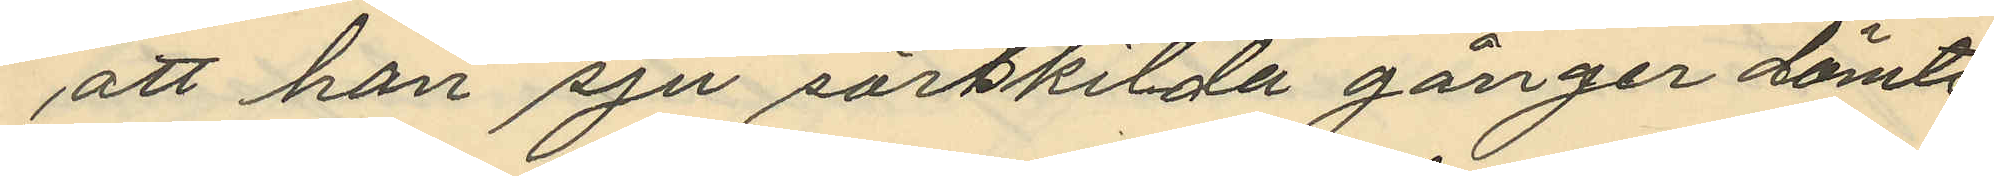att han sju särskilda gånger dömts
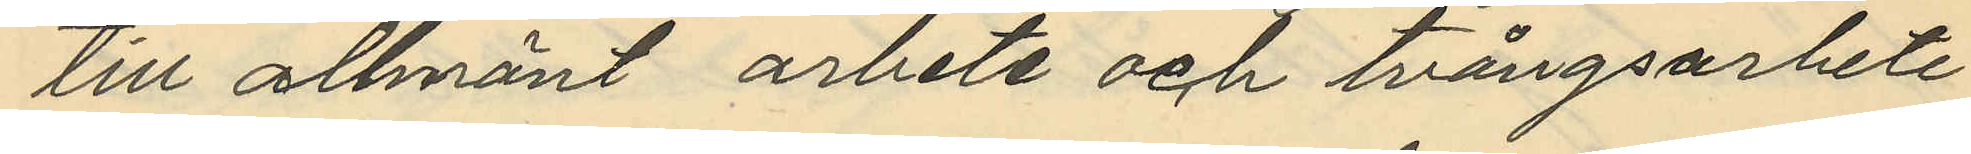till allmänt arbete och tvångsarbete
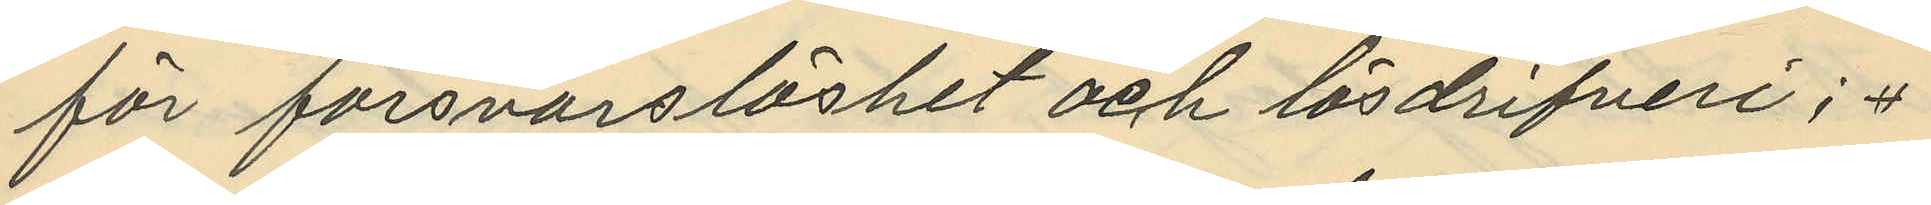för försvarslöshet och lösdrifveri;
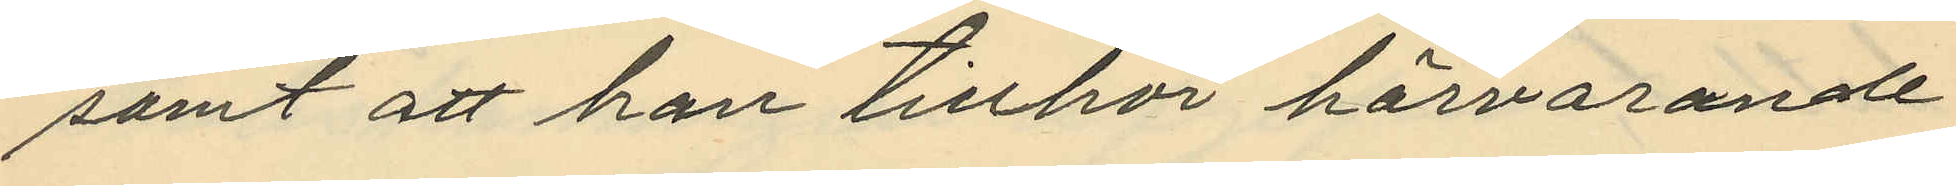samt att han tillhör härvarande
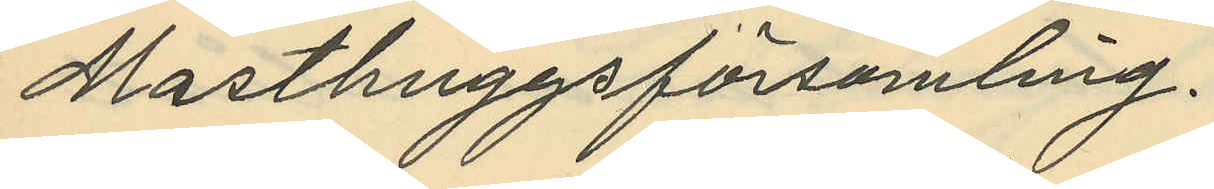Masthuggsförsamling.
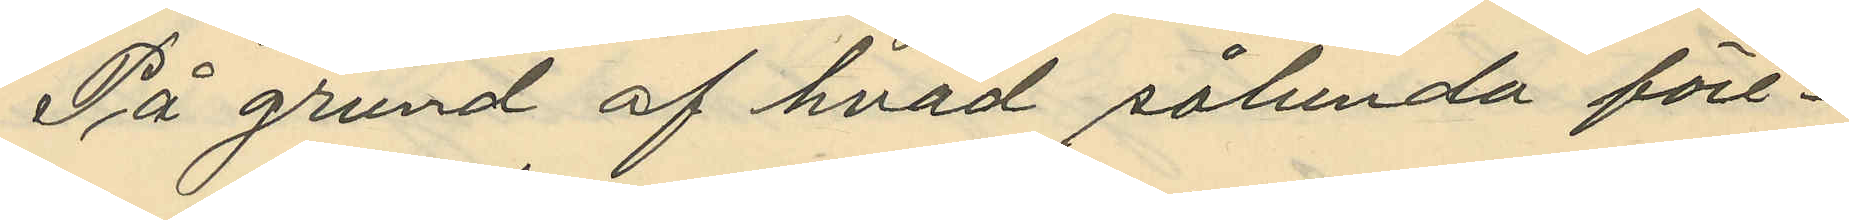På grund af hvad sålunda före¬
